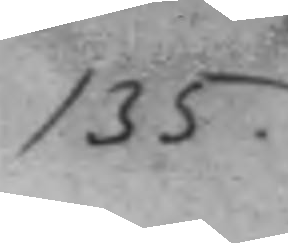135.
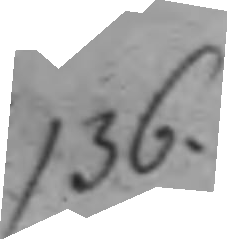136.
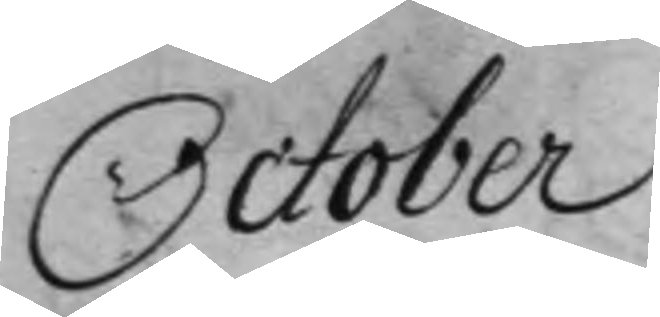October
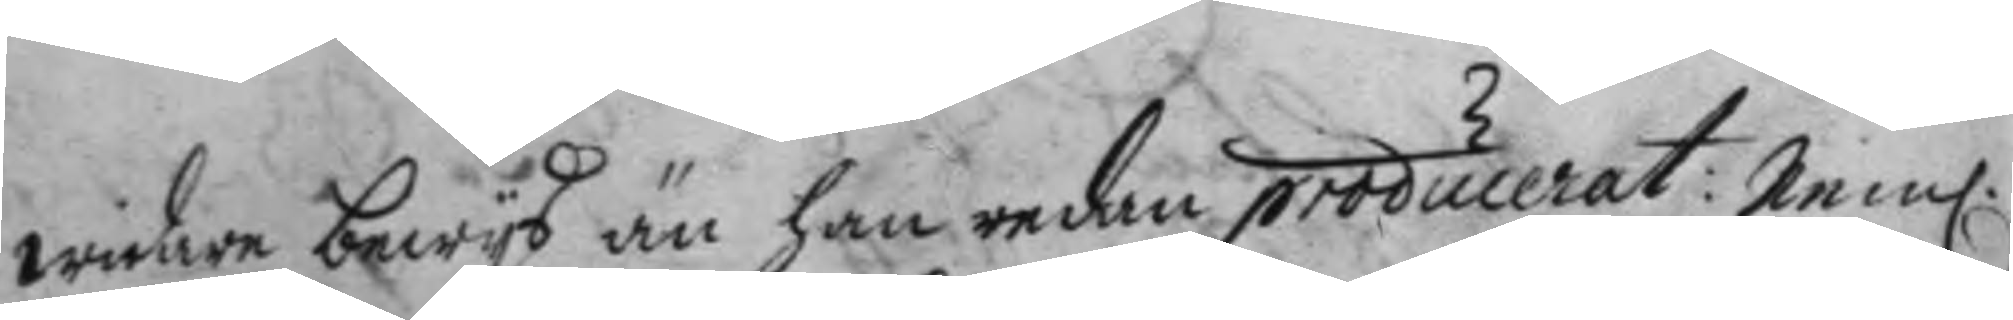widare bewys än han redan producerat: nem.
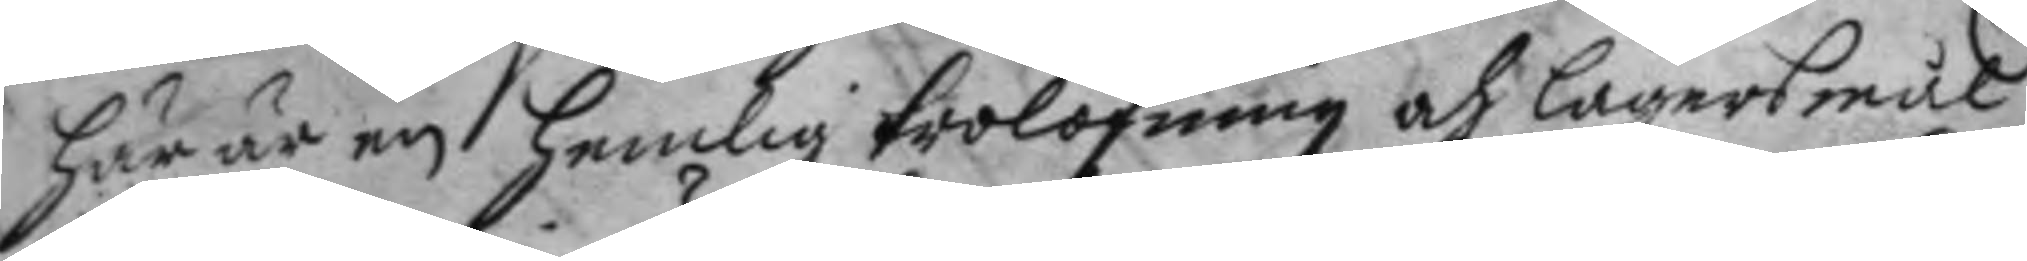här är en hemlig trolofning och lägersmål
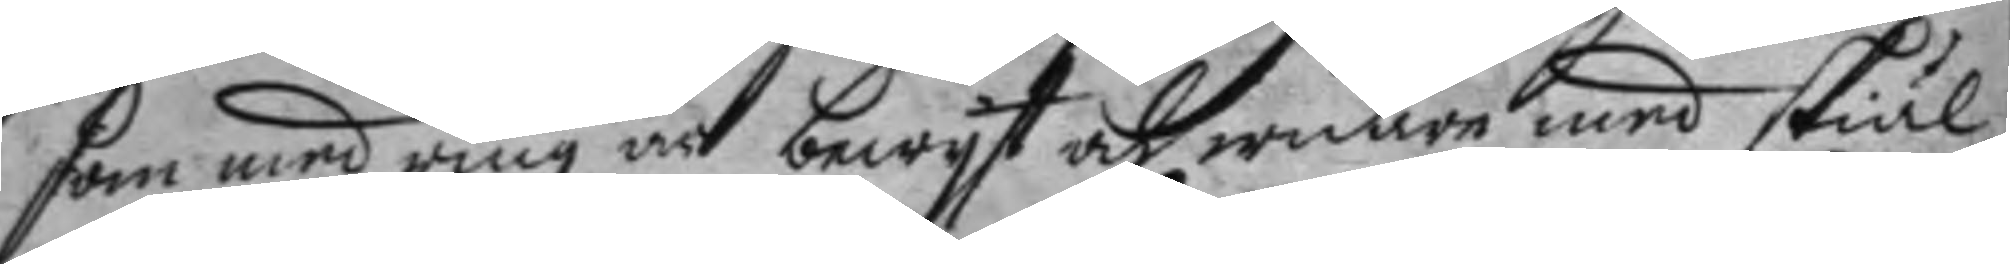som med ring är bewyst och widare med skiäl
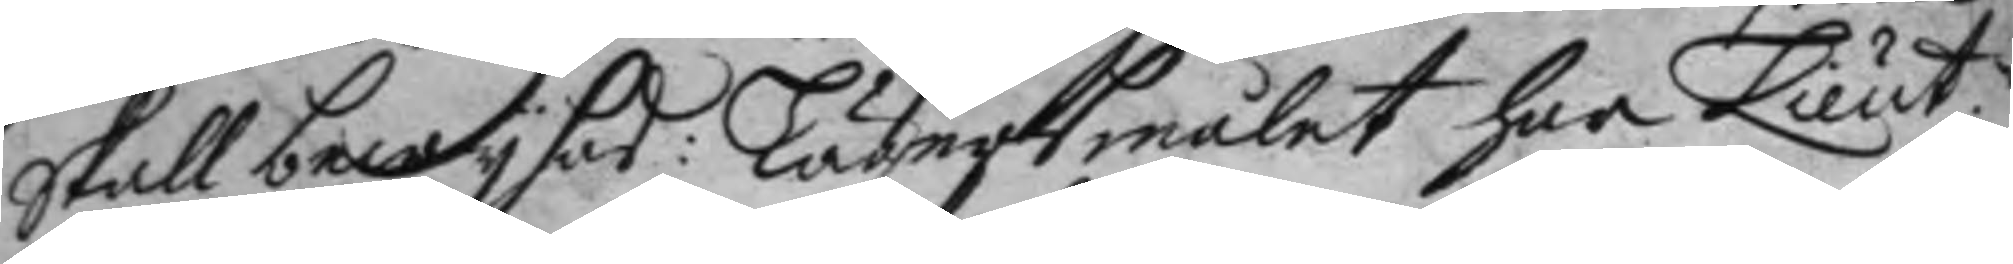skall bewysas: Lägersmålet har Lieut.n
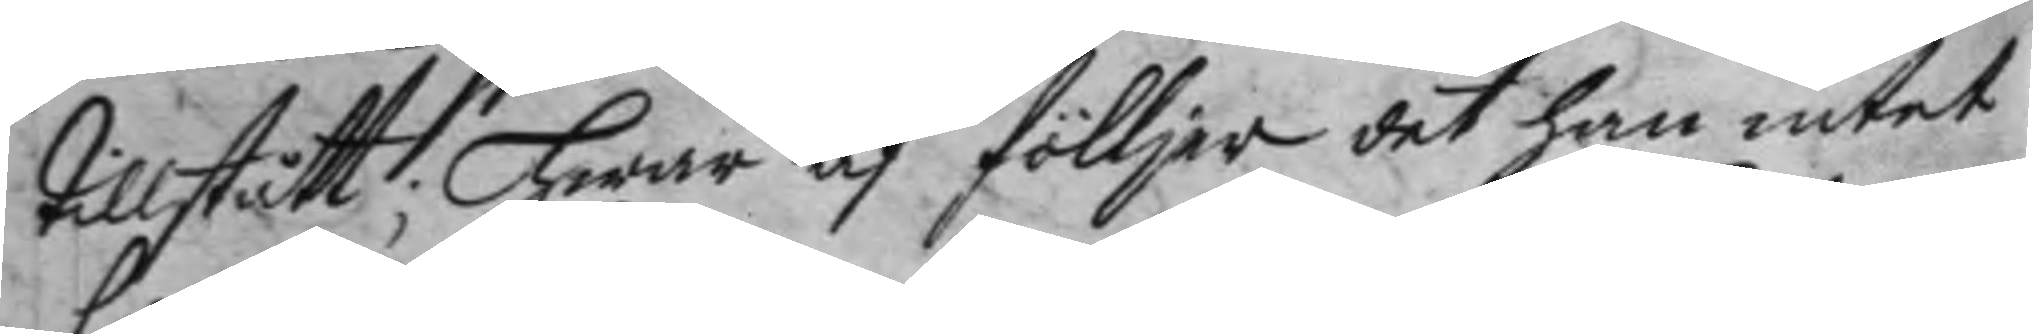tillstått; hwar af föllier det han intet
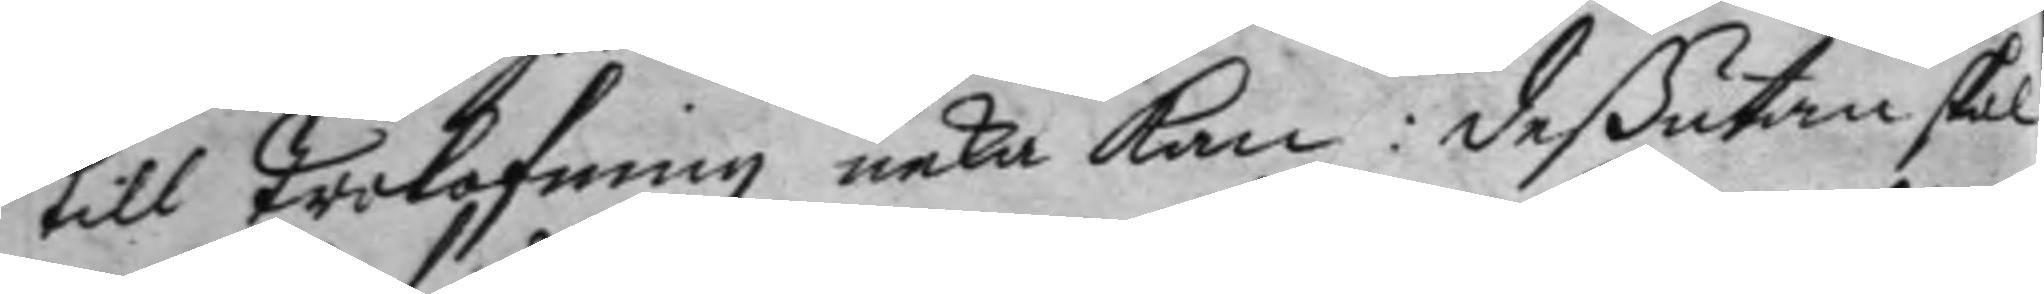till trolofning neka kan: deßutan skal
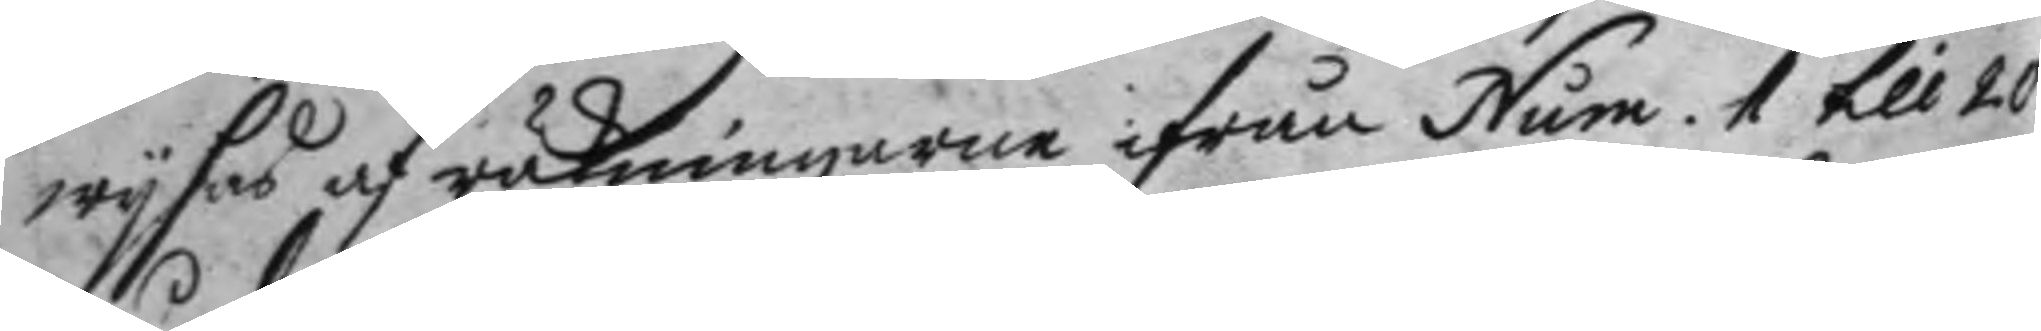wysas af räkningarne ifrån Num. 1 till 20
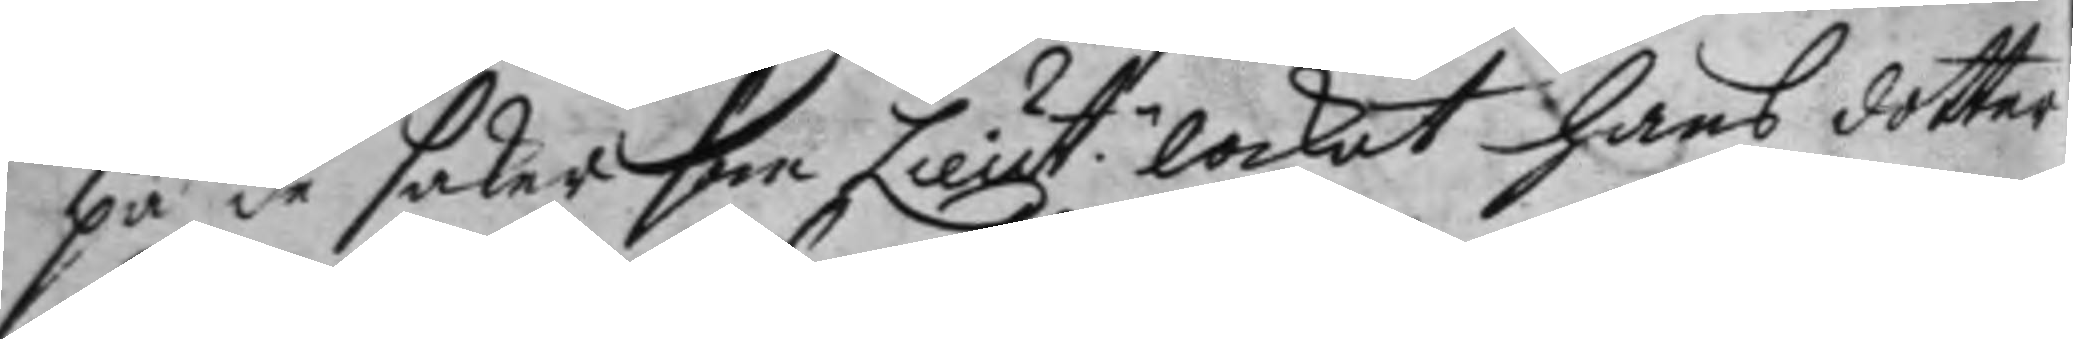på de saker som Lieut.n lockat hans dotter
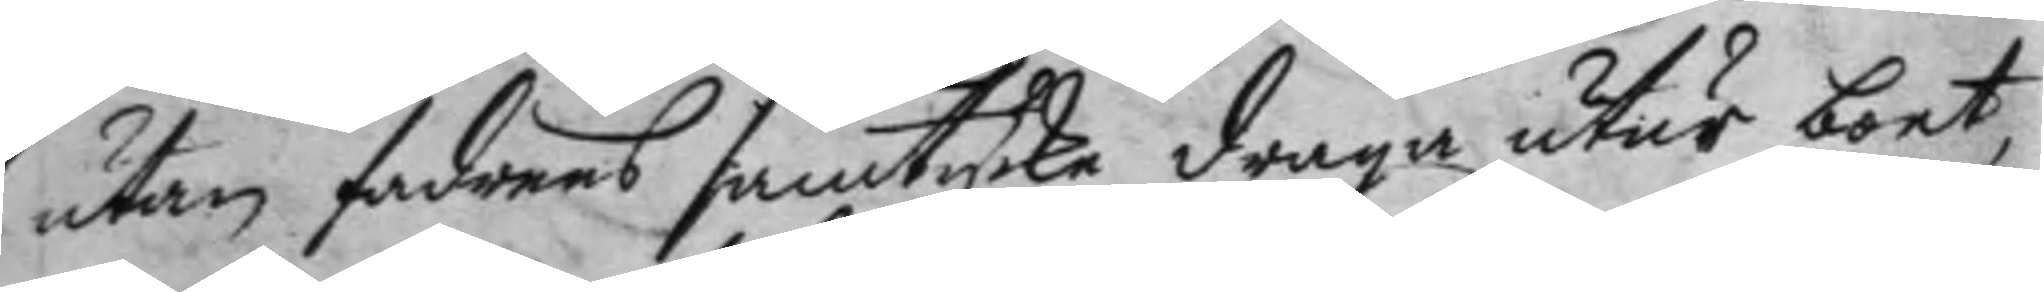utan fadrens samtycke draga utur boet,
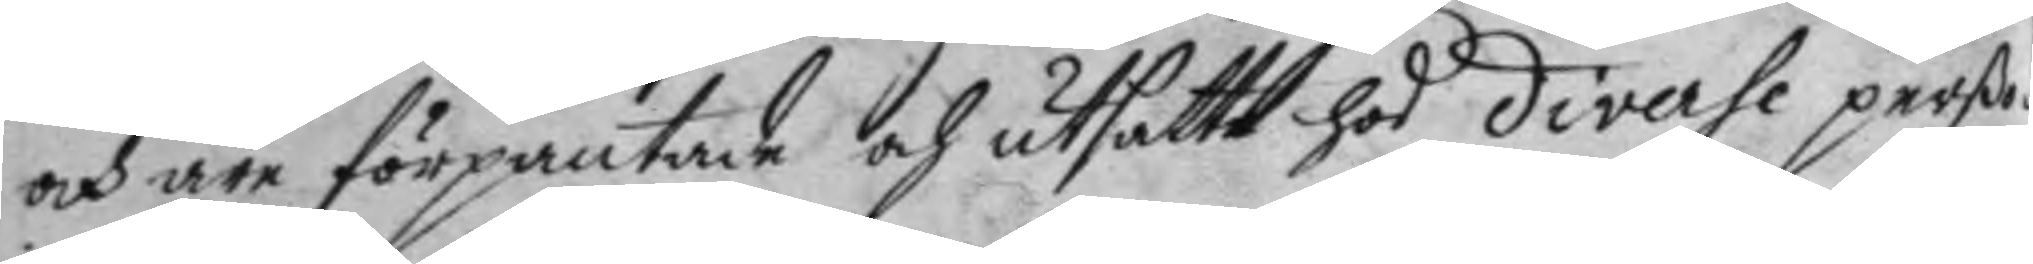och äre förpantade och utsatte hos diverse perßo¬
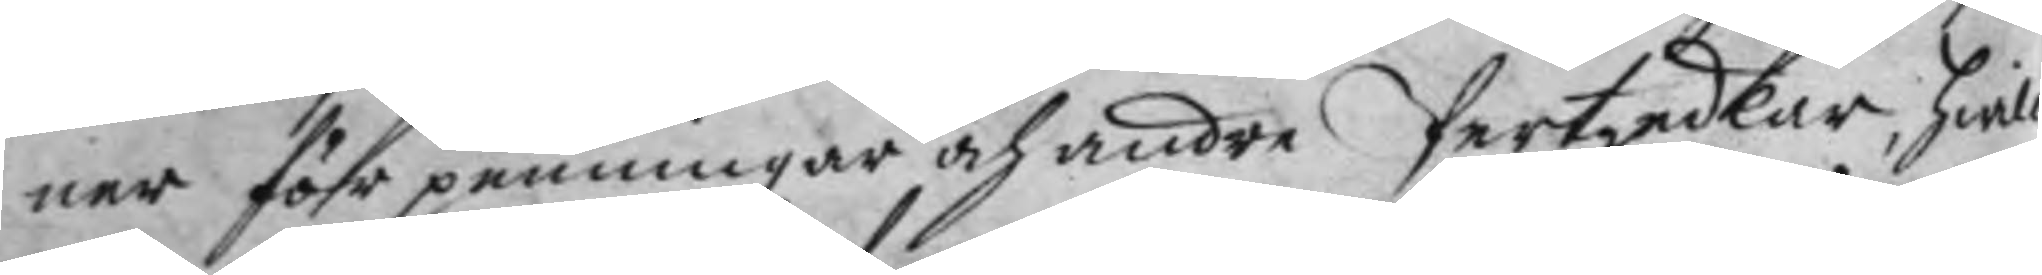ner för penningar och andre Pertzedlar, hwil¬
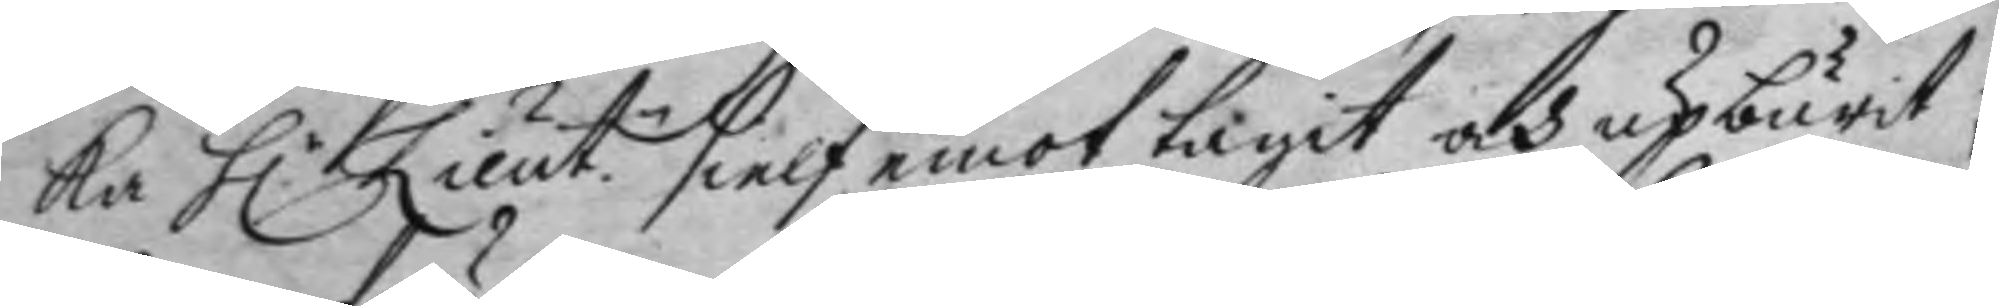ka H.r Lieut.n sielf emot tagit och upburit;
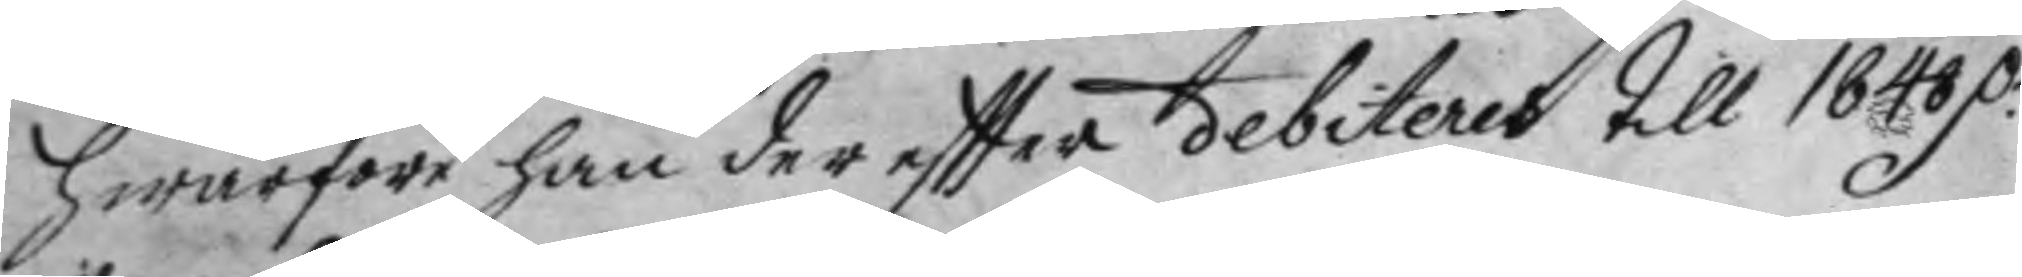hwarföre han der eftter debiteras till 1848 D.r
